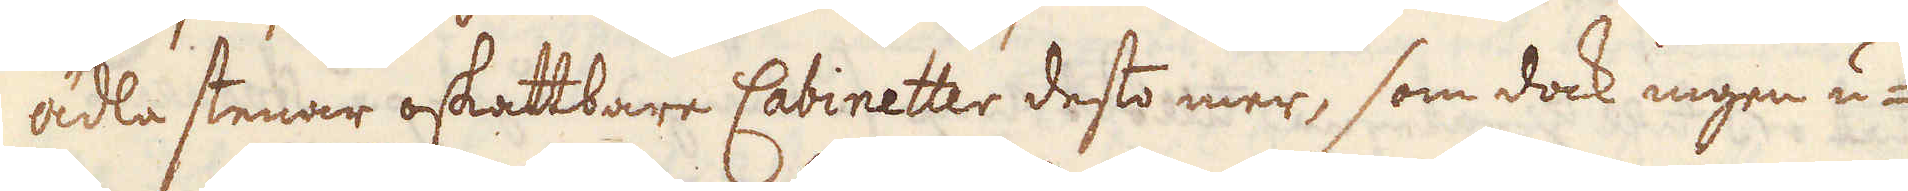ädla stenar oskattbare Cabinetter desto mer, som dock ingen u-
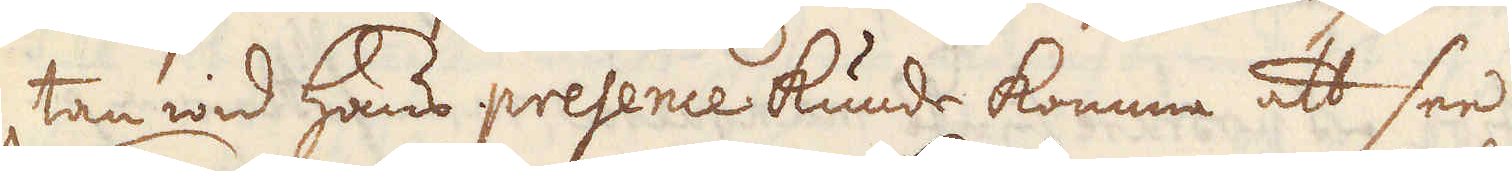tan wid hans presence kunde komma att see.
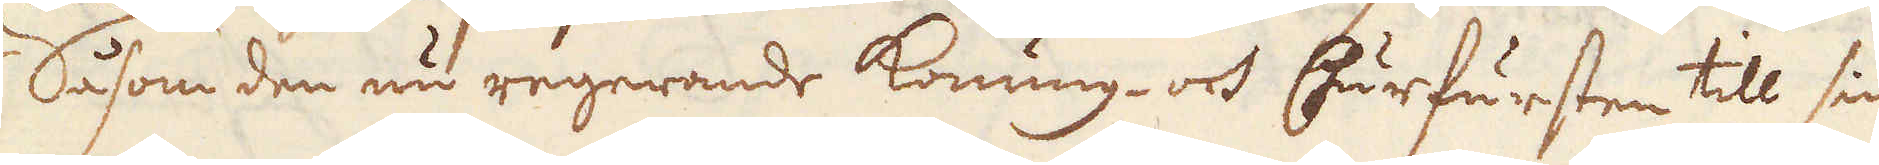Såsom den nu regerande Konung- och Churfursten till sin
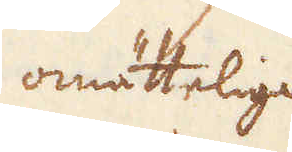omättelige
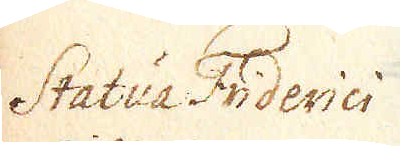Statua Friderici
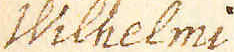Wilhelmi
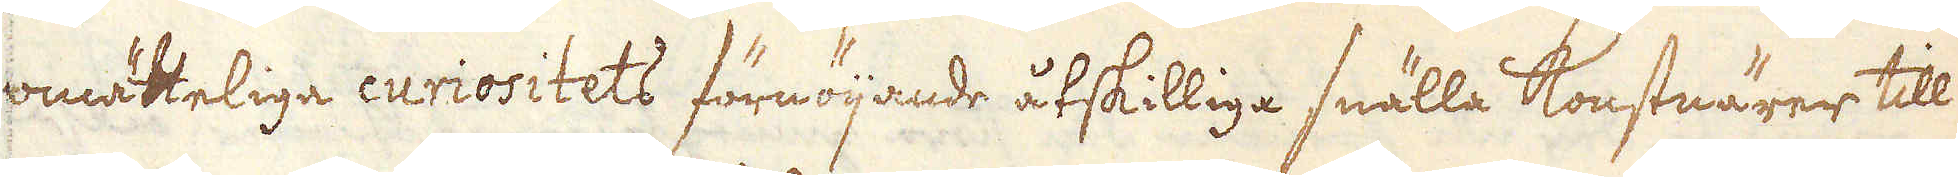mättelige curiositets förnöijande åtskilliga snälla konstnärer till
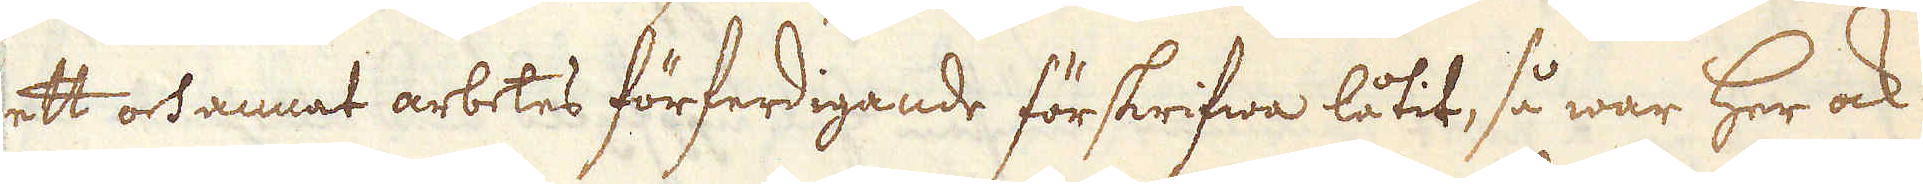ett och annat arbetes förfärdigande förskrifwa låtit, så war her ock
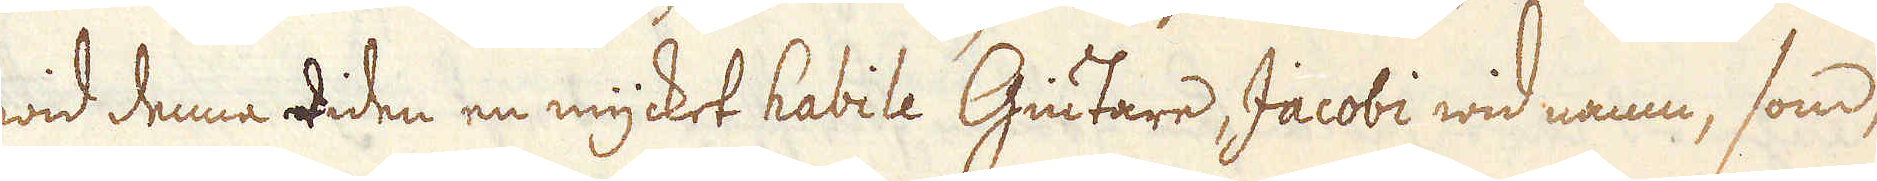wid denna tiden en mycket habile Giutare, Jacobi wid namn, som
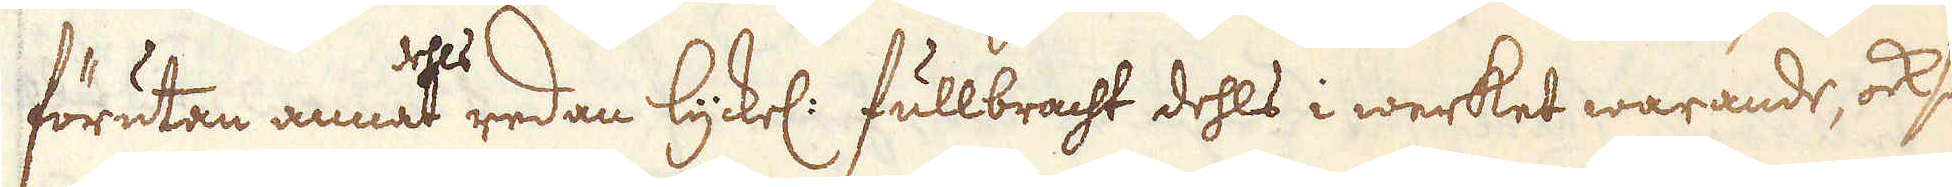förutan annat dels redan lyckel: fullbracht dehls i werket warande, också
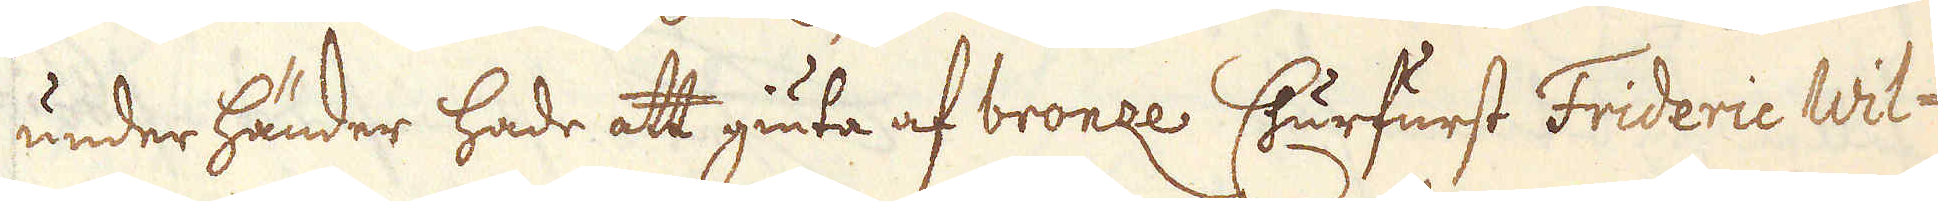under händer hade att giuta af bronze. Churfurst Frederic Wil-
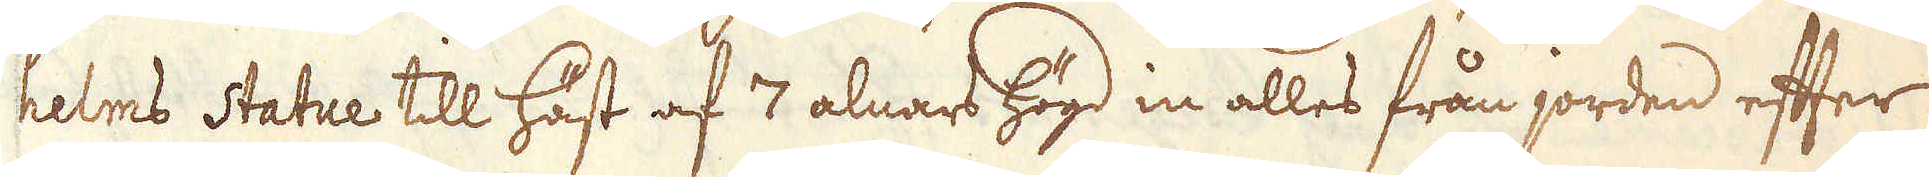helms Statue till häst af 7 alnars högd in alles från jorden efter
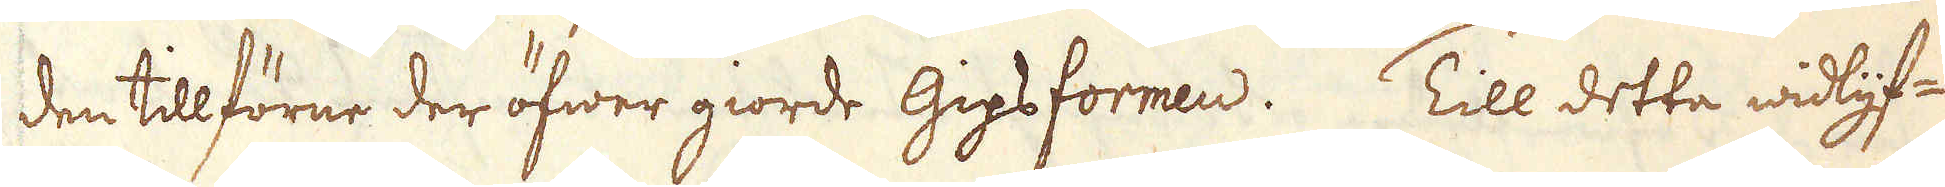den tilförne deröfwer giorde Gipsformen. Till detta widlyf-
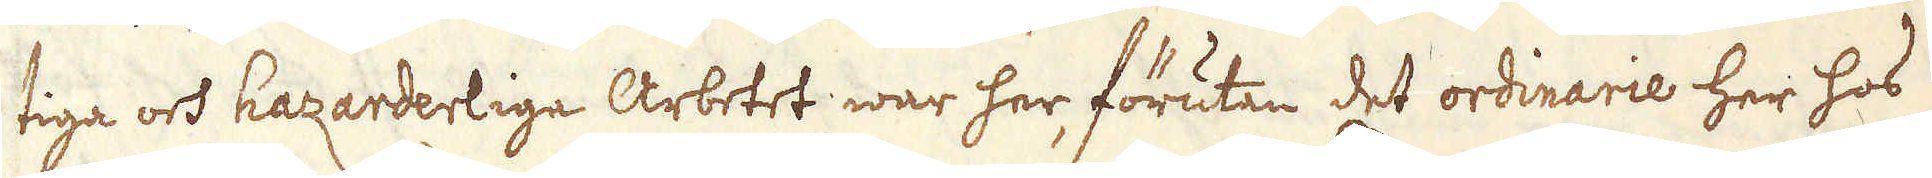tiga och hazarderlige Arbetet war her, förutan det ordinarie her hos
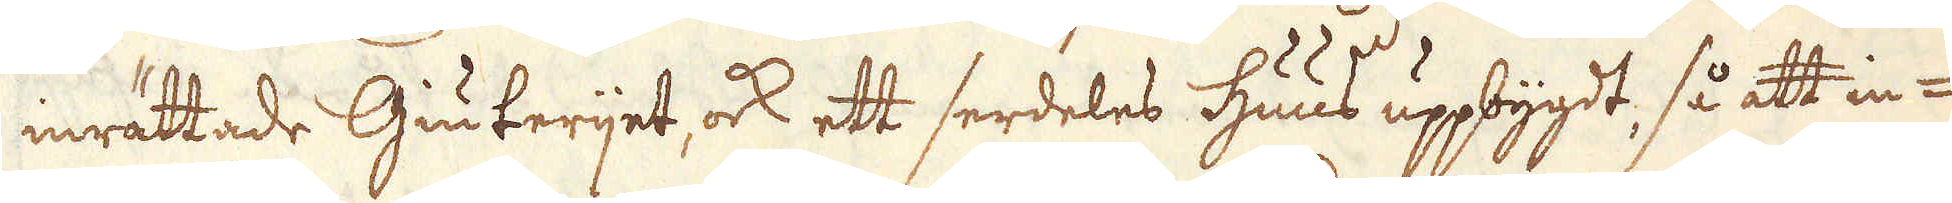inrättade Giuterijet ock ett serdeles huus uppbygdt, så att in-
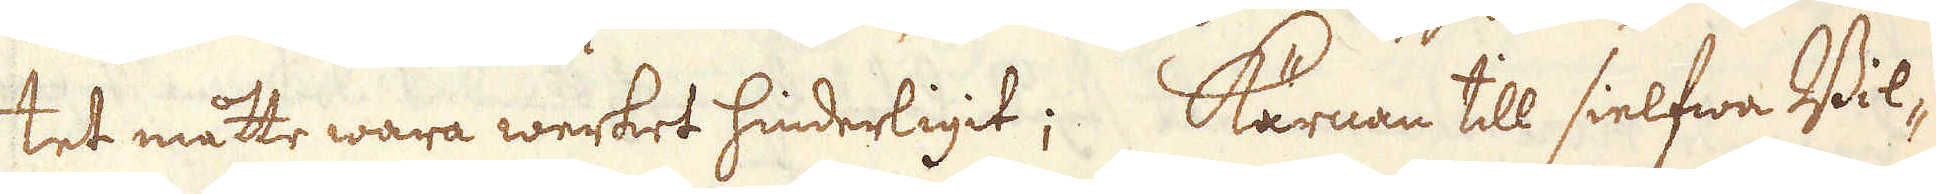tet måtte wara werket hinderligit; Kärnan till sielfwa Bil-
